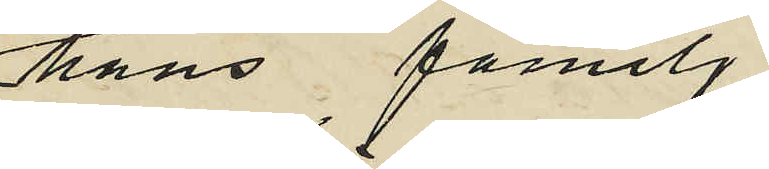hans familj
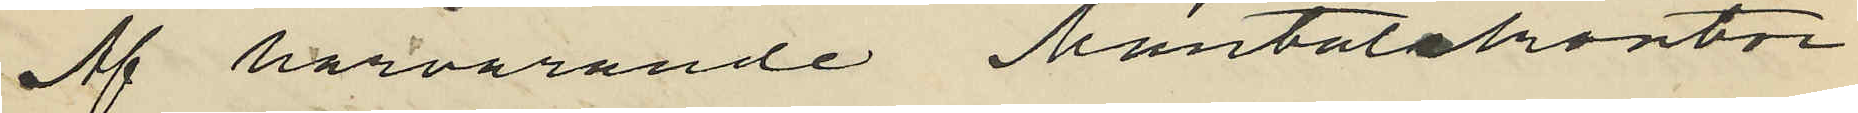Af härvarande Mantalskontor
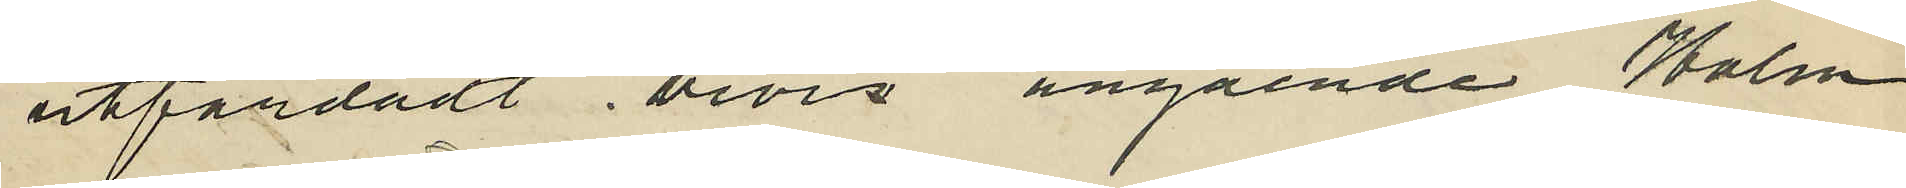utfärdadt bevis angående Holm¬
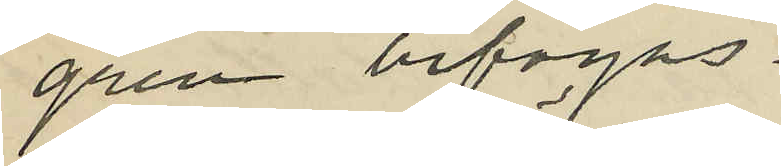gren bifogas.
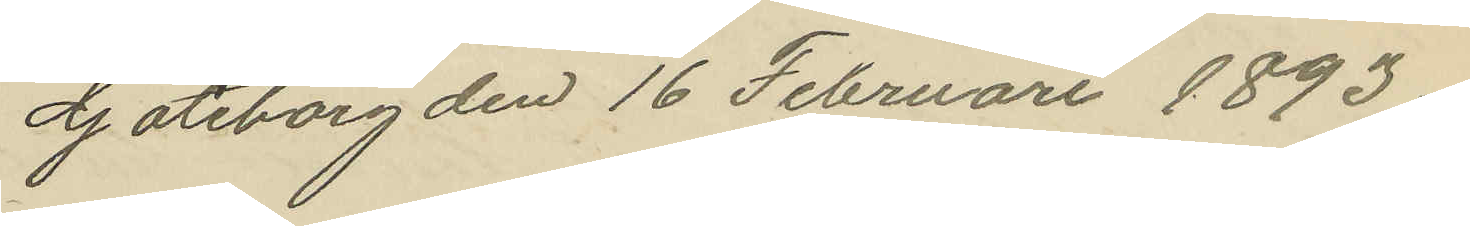Göteborg den 16 Februari 1893.
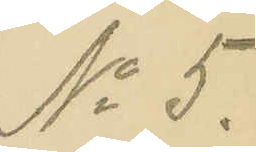No 5.
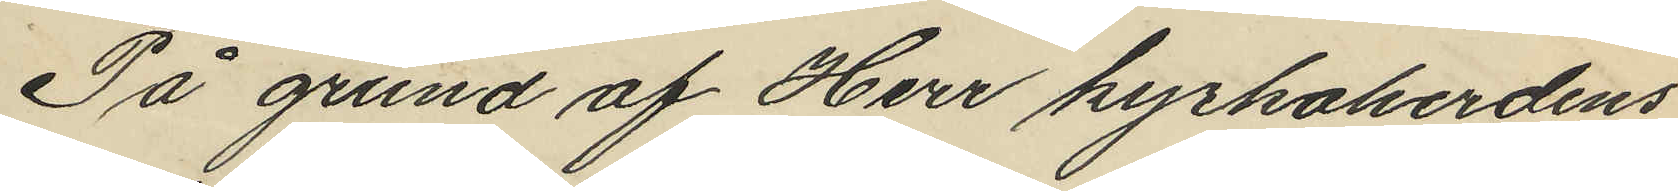På grund af Herr kyrkoherdens
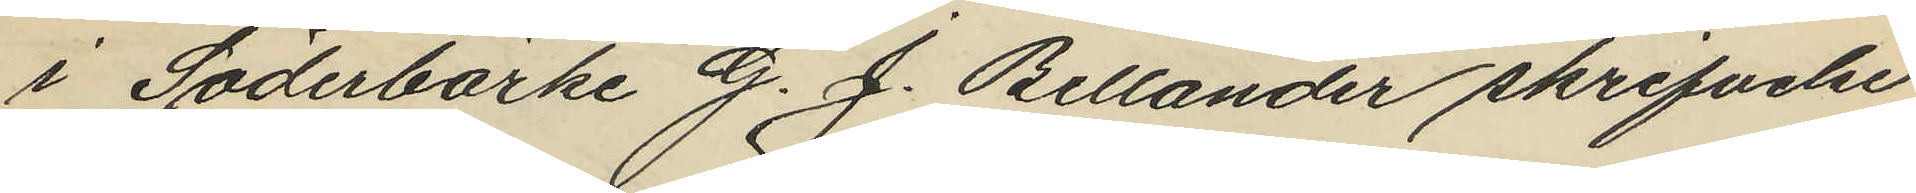i Söderbärke G. J. Bellander skrifvelse
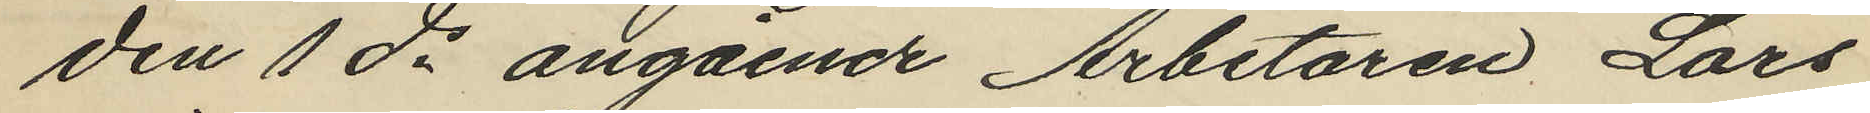den 1 ds angående Arbetaren Lars
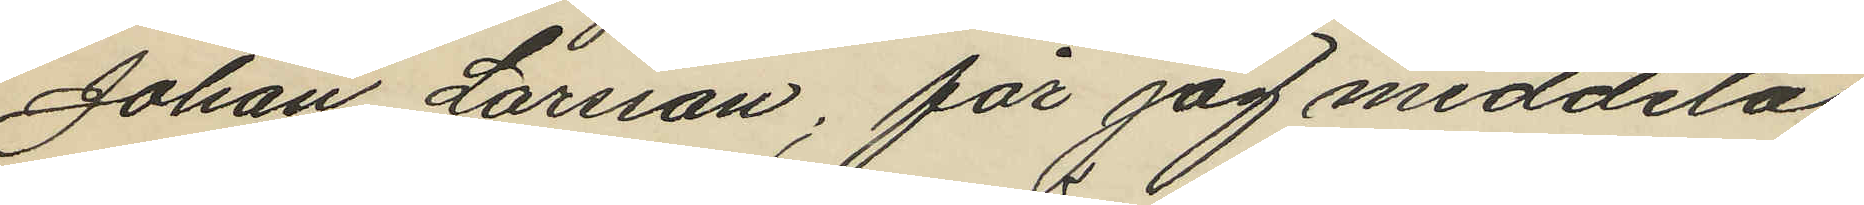Johan Larsson; får jag meddela
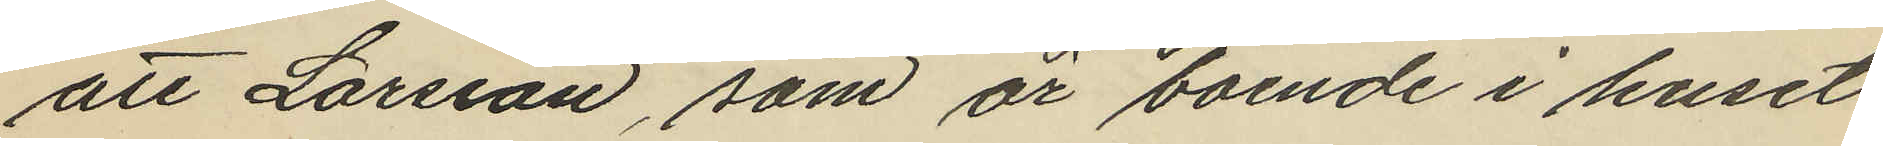att Larsson, som är boende i huset
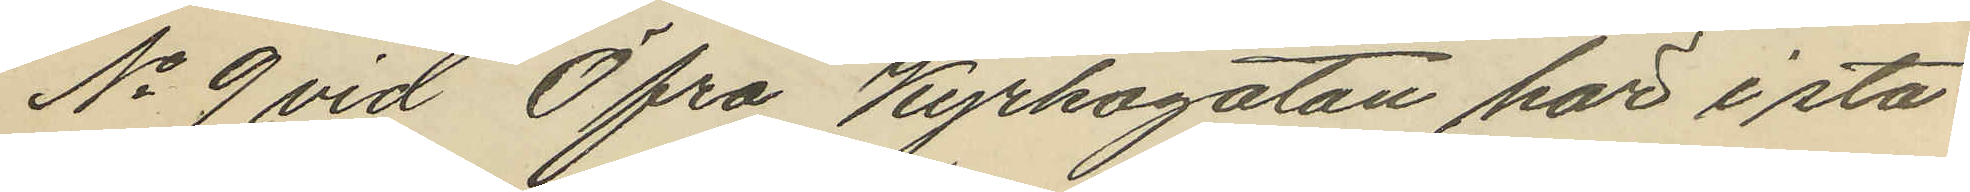No 9 vid Öfra Kyrkogatan här i sta¬
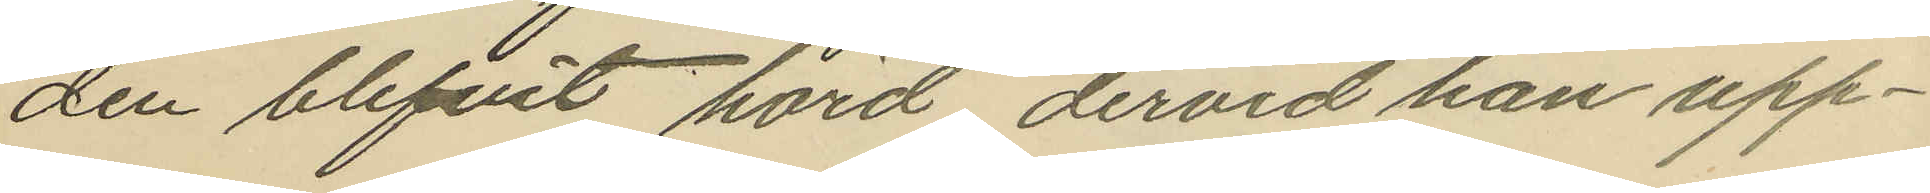den blifvit hörd dervid han upp¬
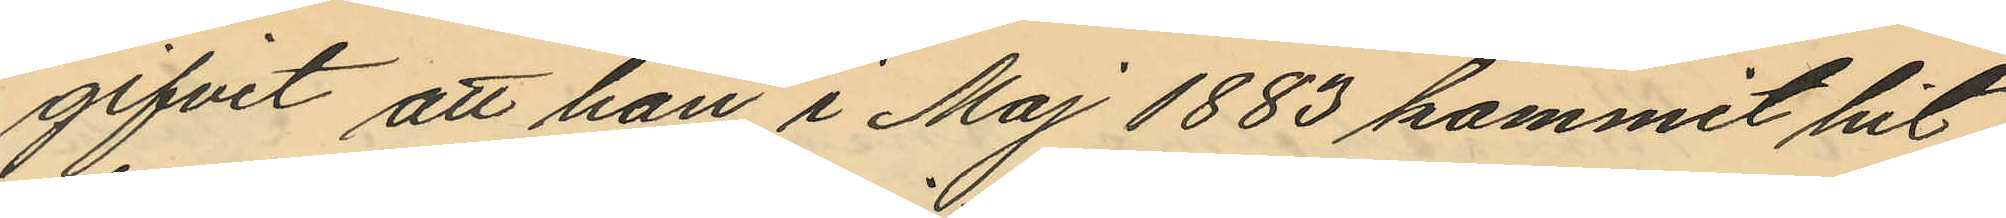gifvit att han i Maj 1883 kommit hit
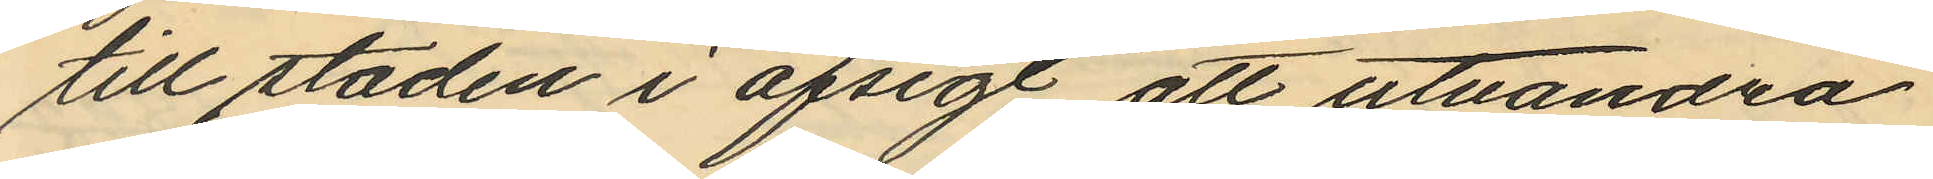till staden i afsigt att utvandra
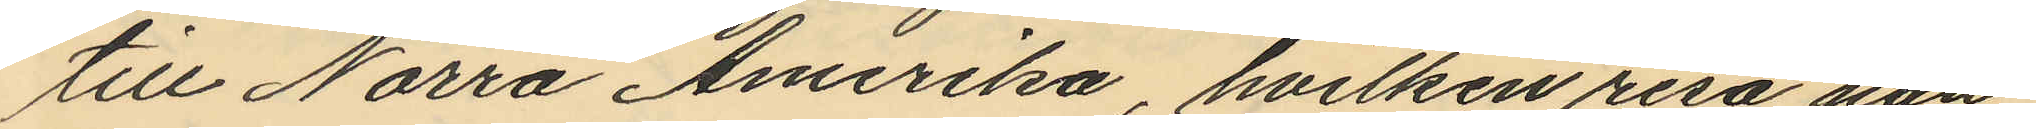till Norra Amerika, hvilken resa han
